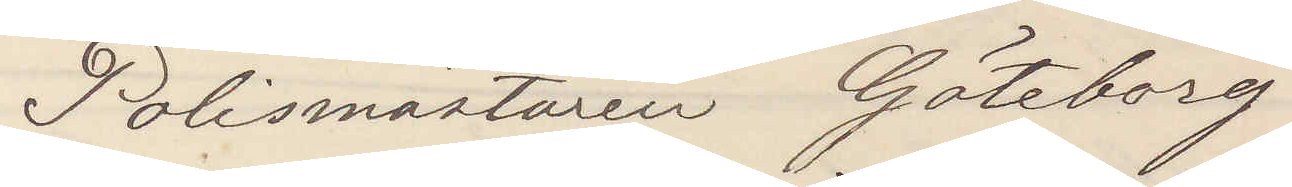Polismästaren Göteborg
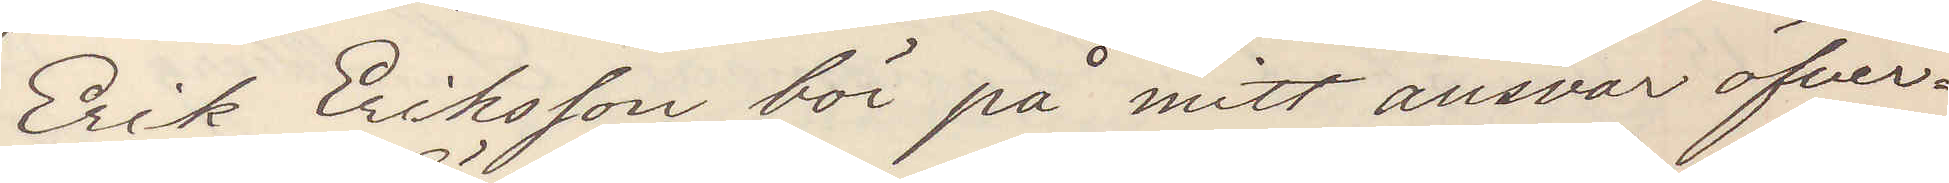Erik Eriksson bör på mitt ansvar öfver¬
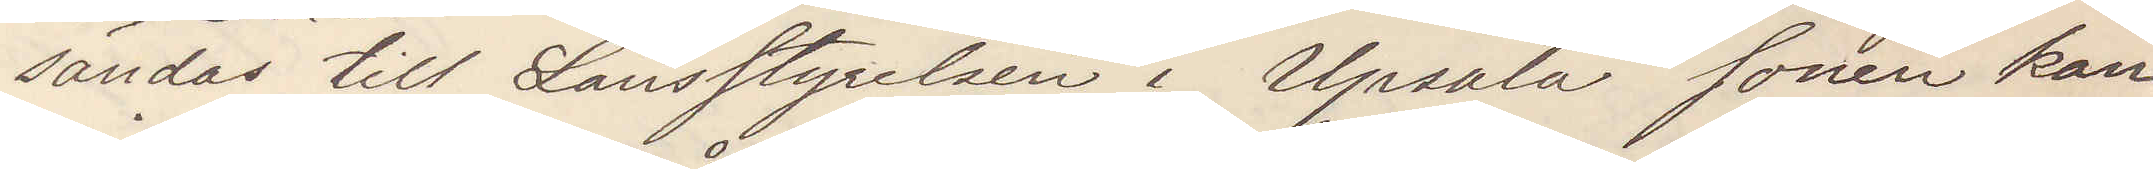sändas till Länsstyrelsen i Upsala Sonen kan
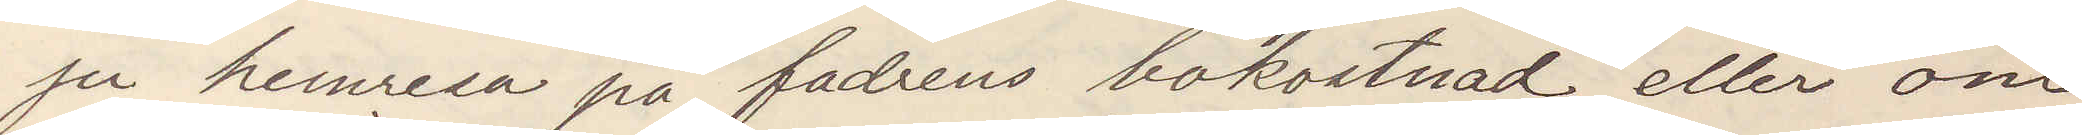ju hemresa på fadrens bekostnad eller om
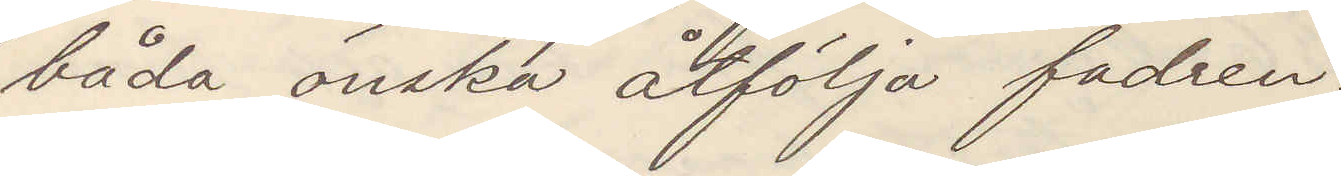båda önska åtfölja fadren.
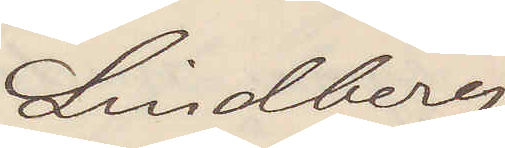Lindberg
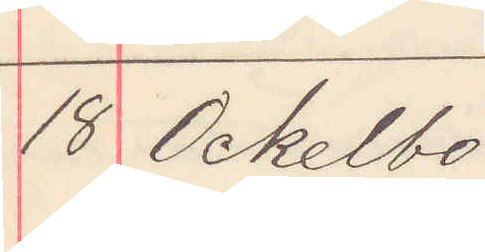18 Ockelbo
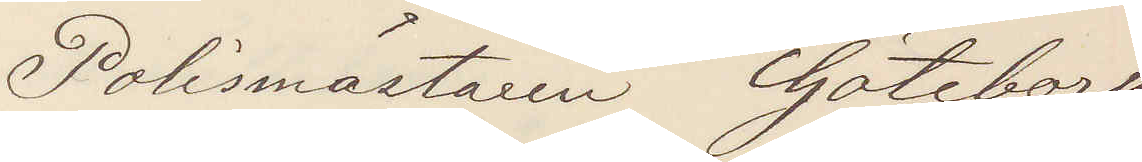Polismästaren Göteborg
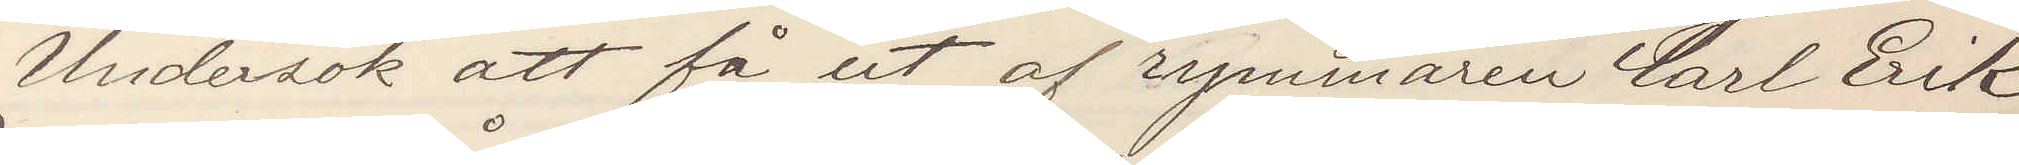Undersök att få ut af rymmaren Carl Erik
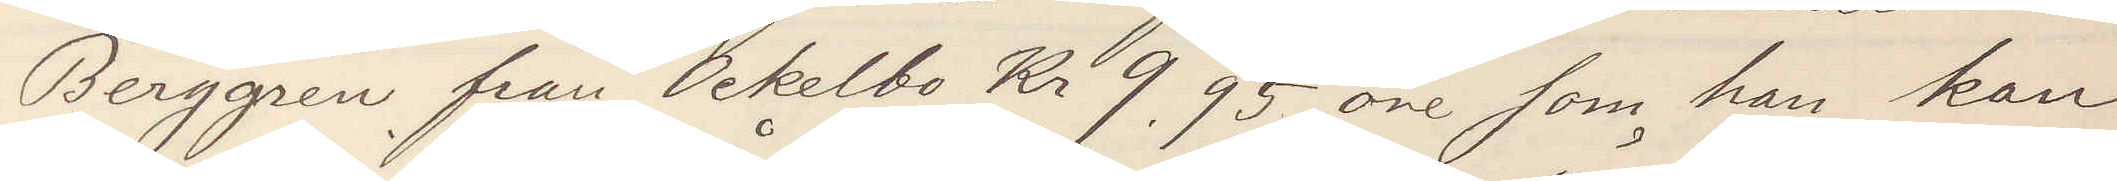Berggren från Ockelbo Kr 9,95 öre som han kan
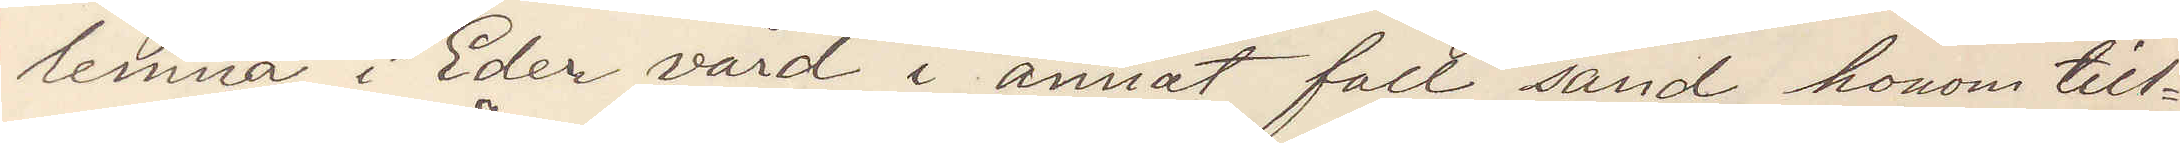lemna i Eder vård i annat fall sänd honom till¬
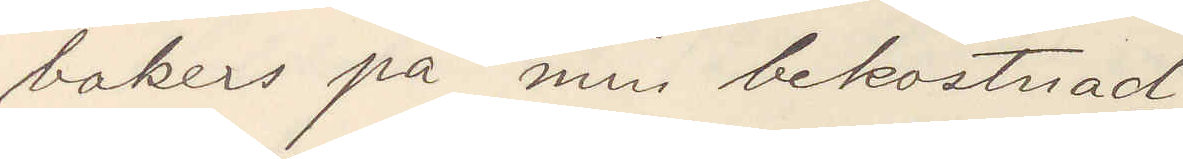bakers på min bekostnad.
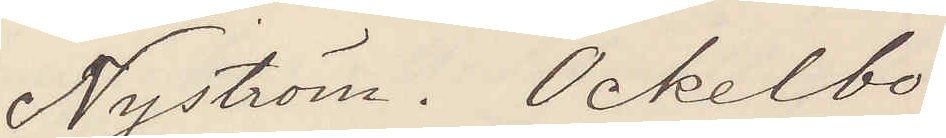Nyström. Ockelbo
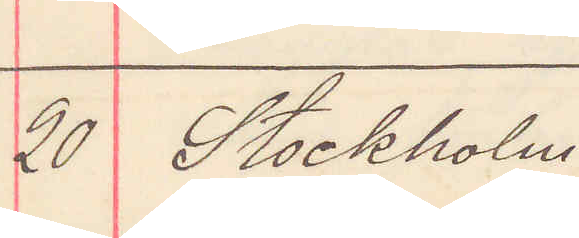20 Stockholm
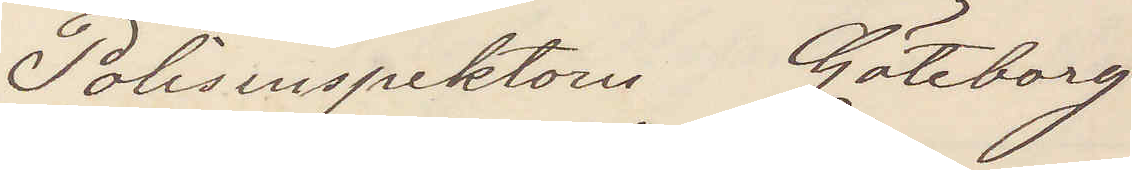Polisinspektorn Göteborg
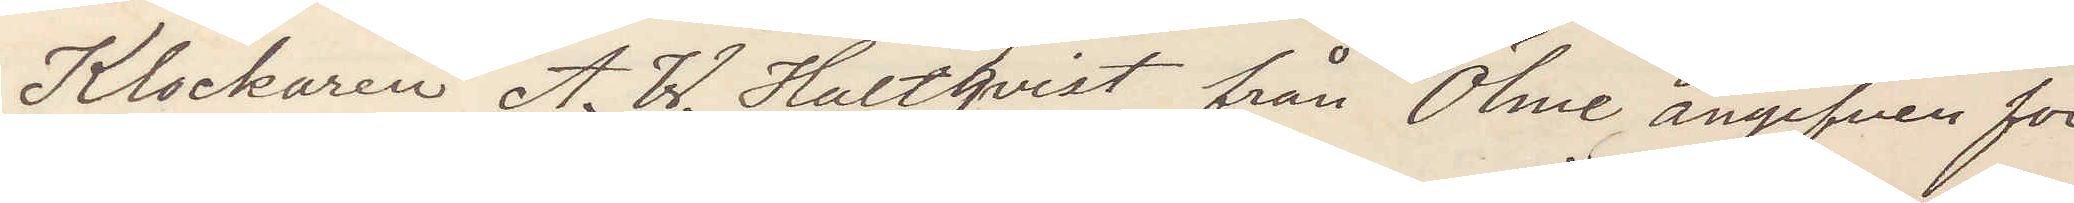Klockaren A. W. Hultqvist från Ölme angifven för
